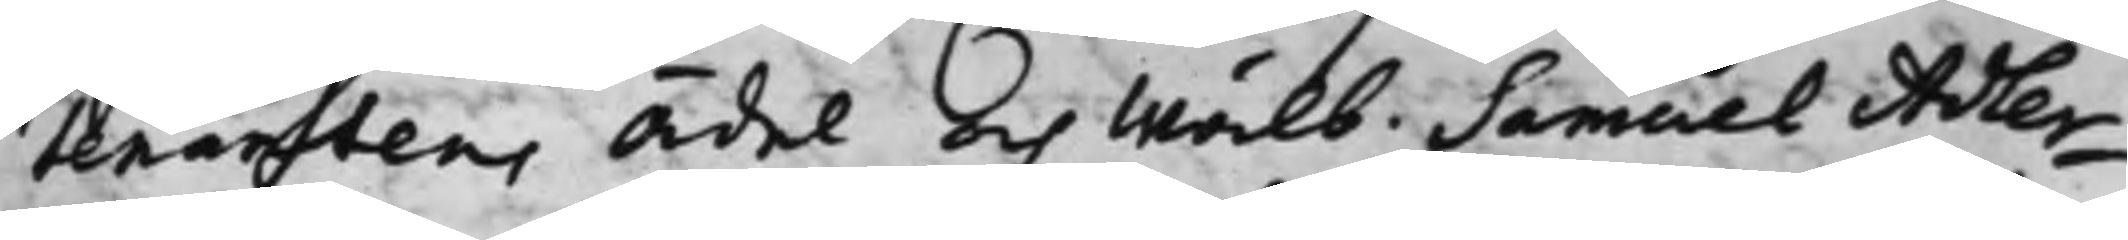tenantens Ädel och Wälb. Samuel Adler¬
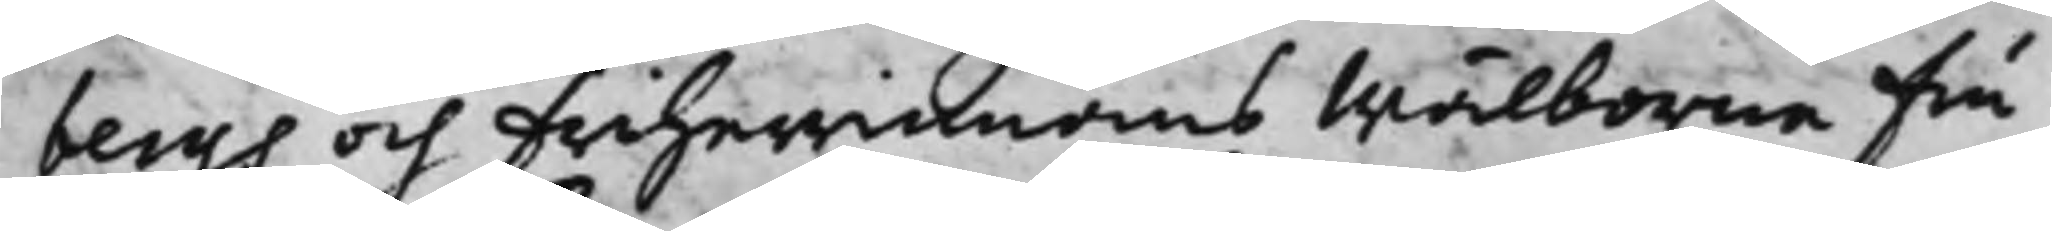bergs och Friherrinnans Wälborne Fru
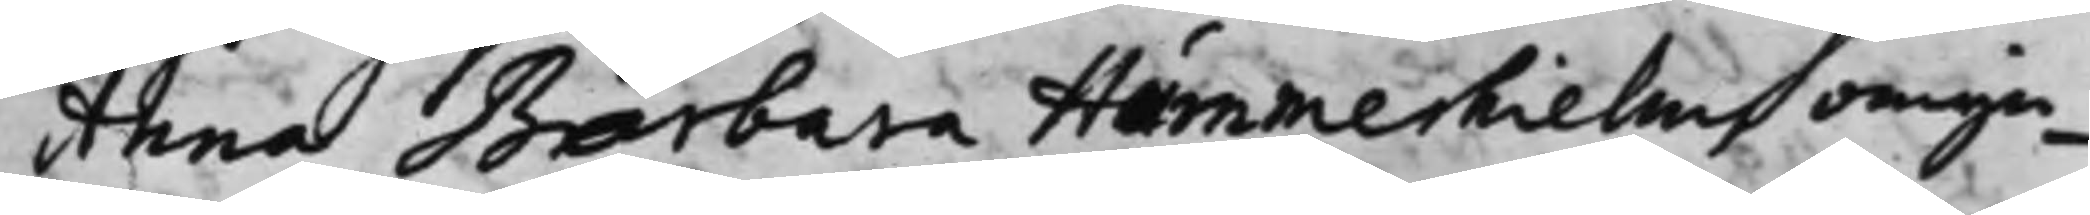Anna Barbara Hummerhielms omyn¬
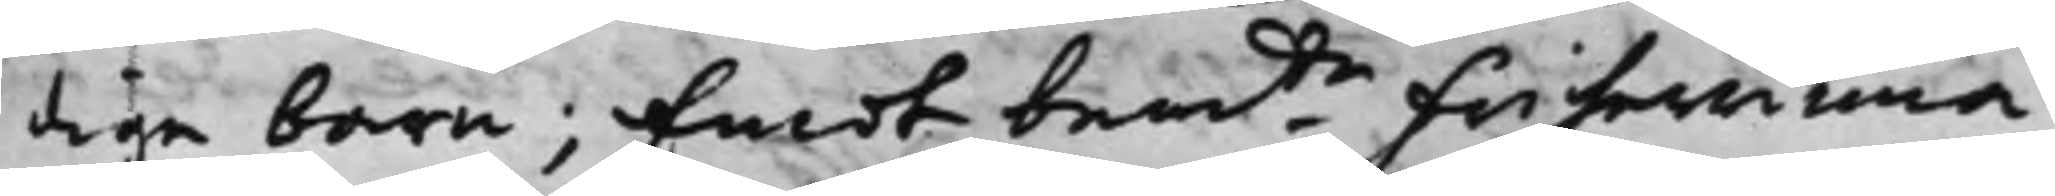dige barn; Emot bemte Friherrinna
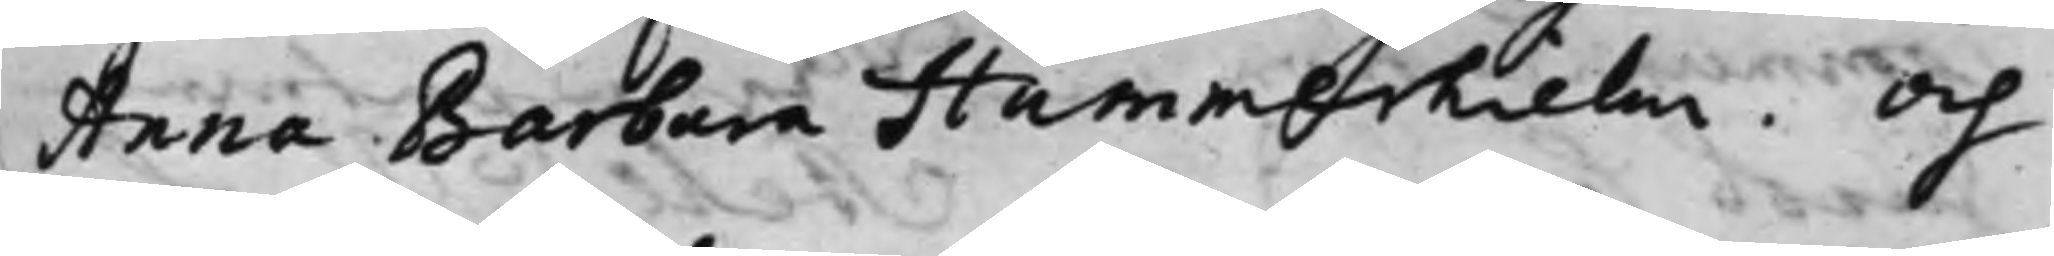Anna Barbara Hummerhielm. Och
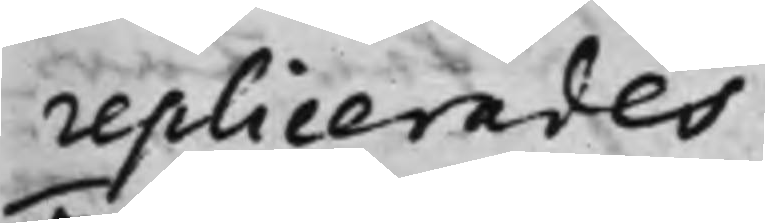replicerades.
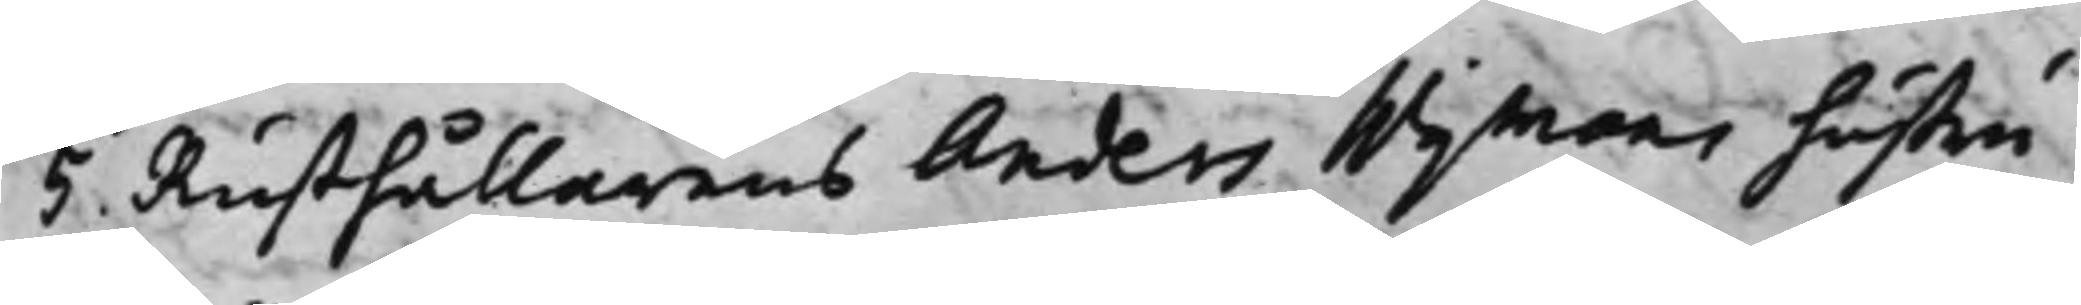5. Rusthållarens Anders Wijmans hustru
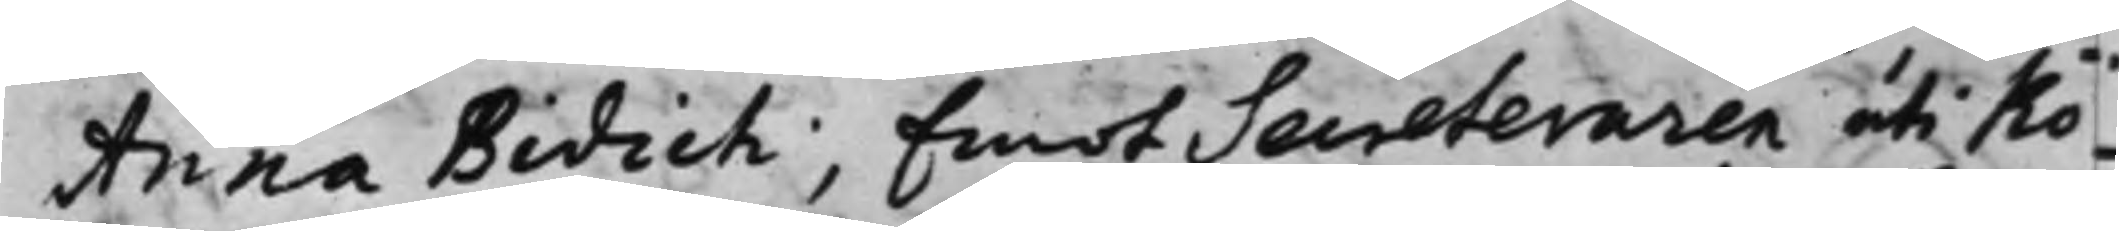Anna Bidich; Emot Secreteraren uti Kö¬
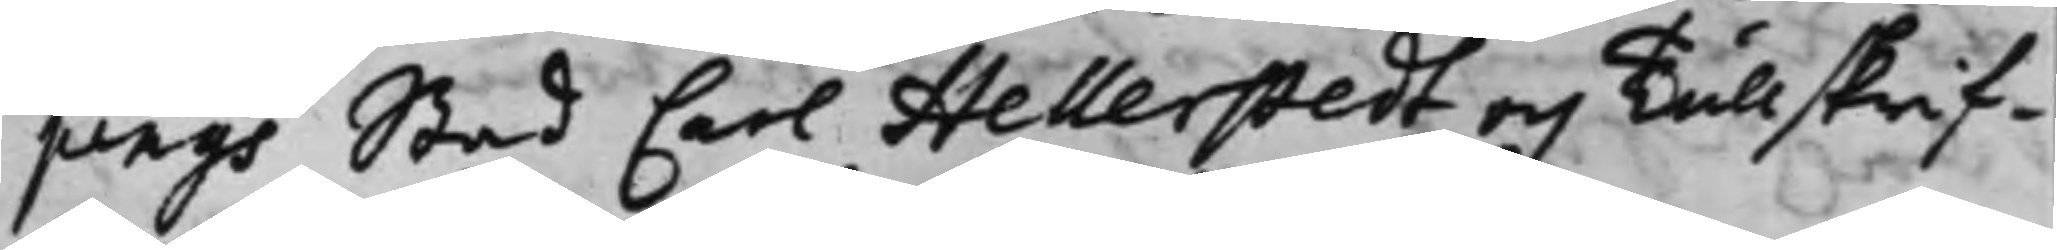pings Stad Carl Hellerstedt och Tullskrif¬
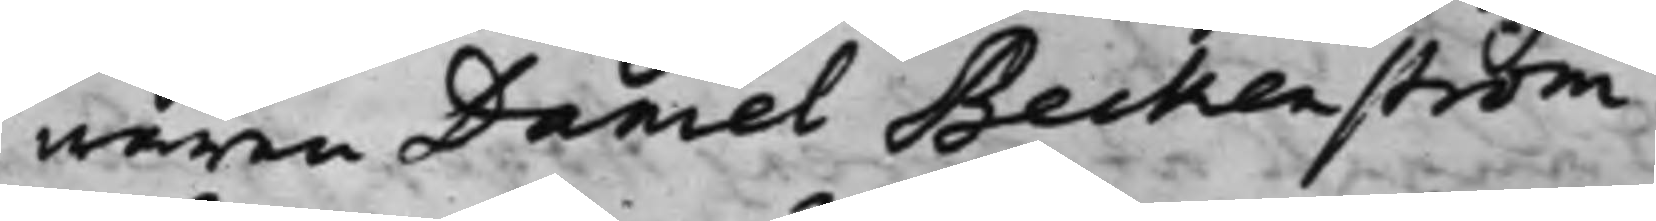waren Daniel Beckenström.
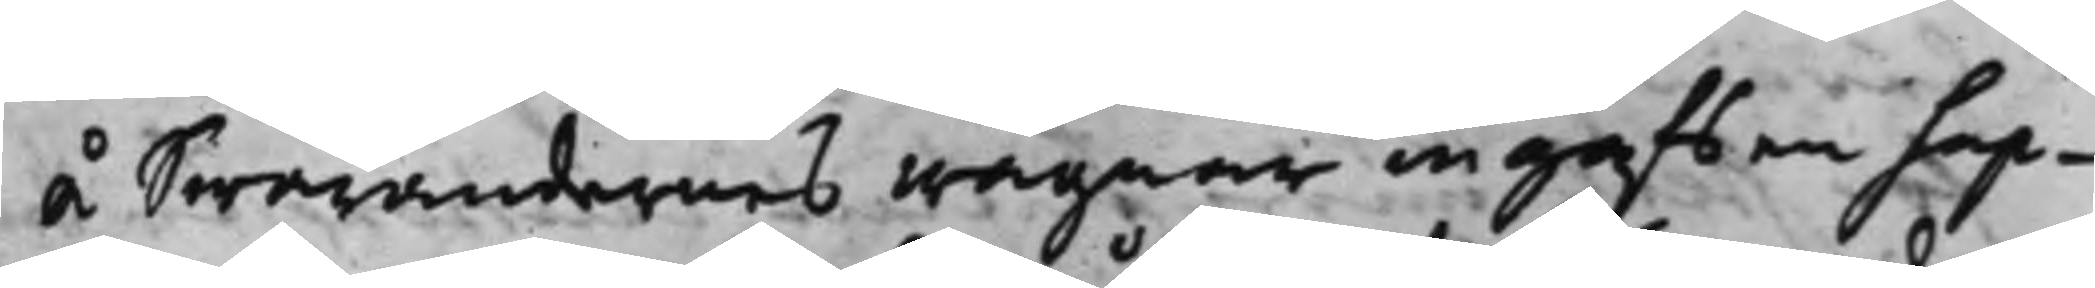Å Swarandernes wägnar ingafs en Sup¬
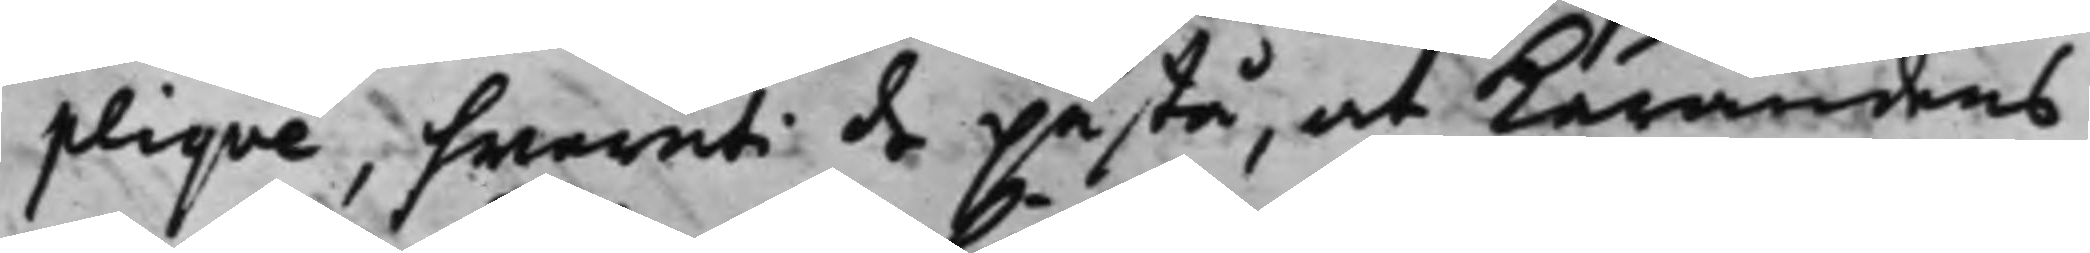pliqve, hwaruti de påstå, at Kärandens
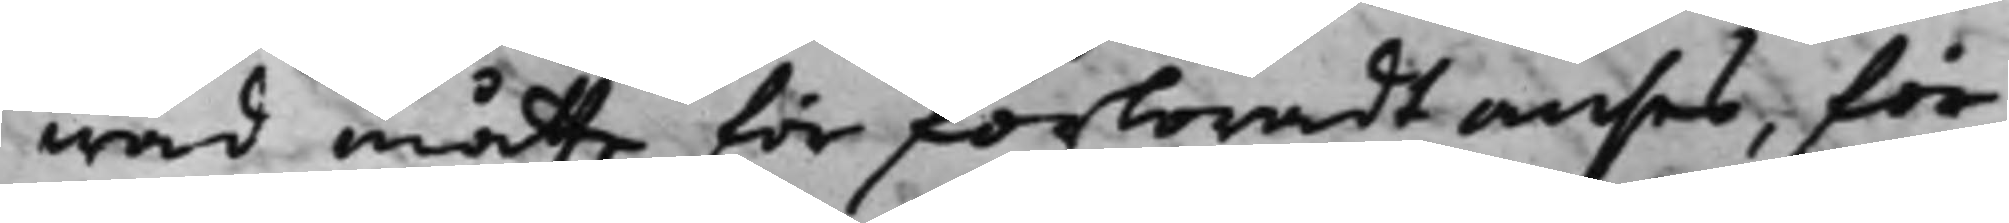wad måtte för förloradt anses, för
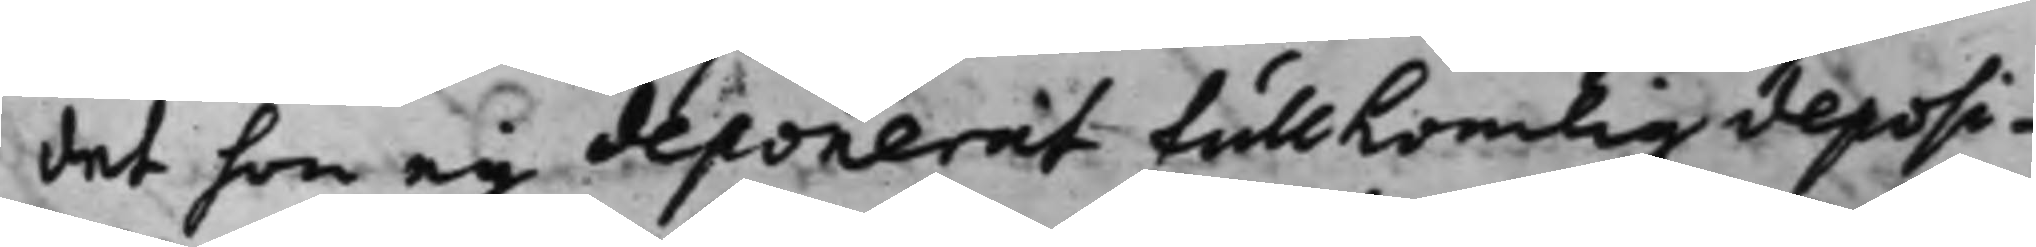det hon ey deponerat fullkomlig deposi¬
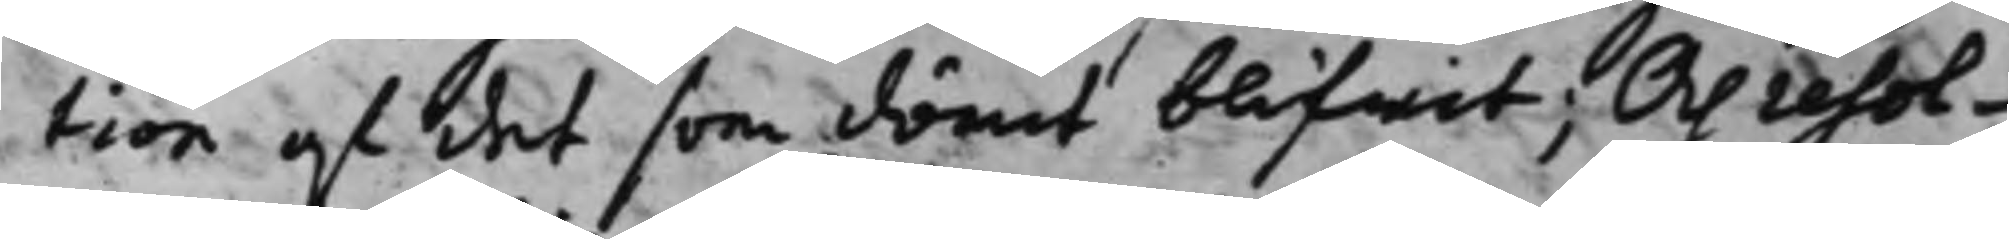tion af det som dömt blifwit; Och resol¬
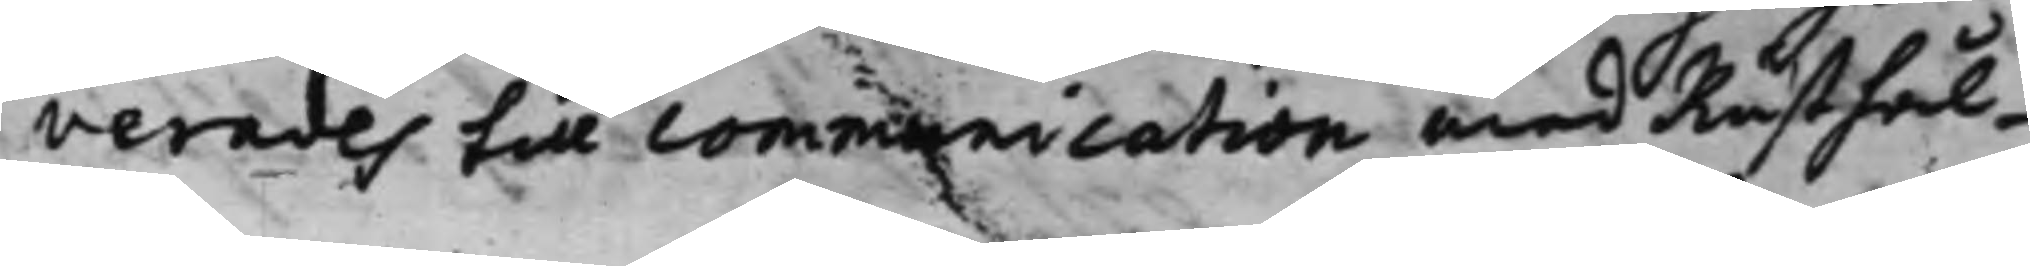verades till communication med Rusthål¬
